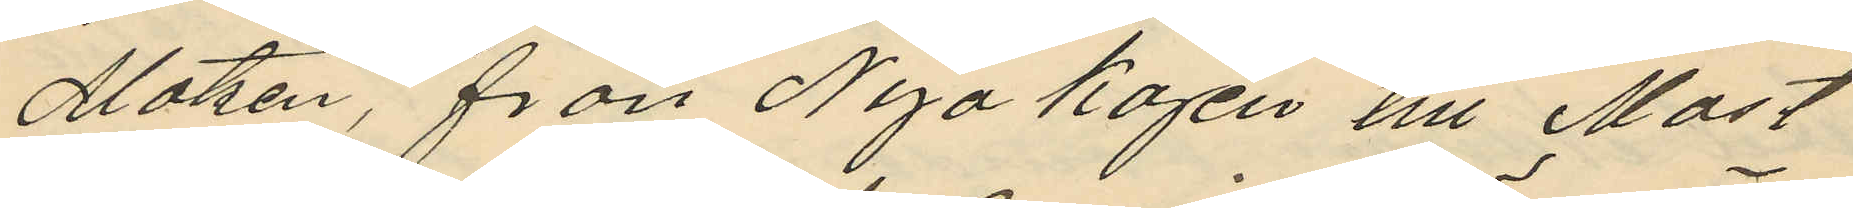Matzén, från Nya kajen till Mast¬
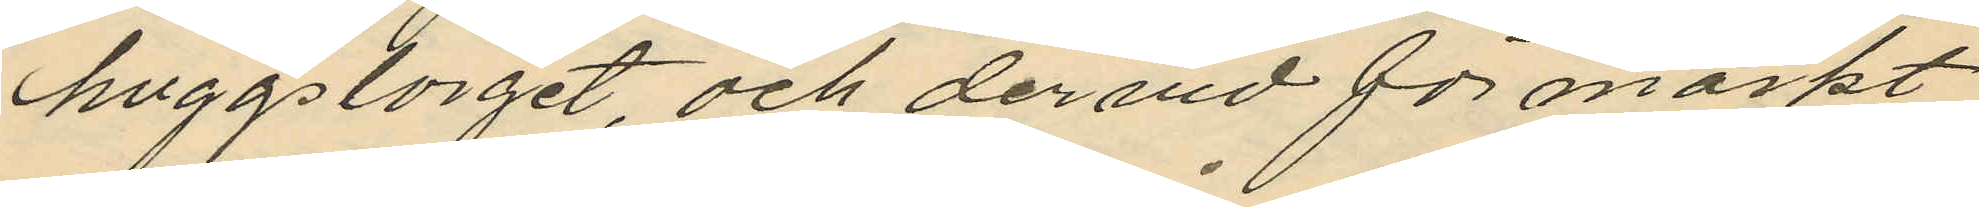huggslorget, och dervid förmärkt
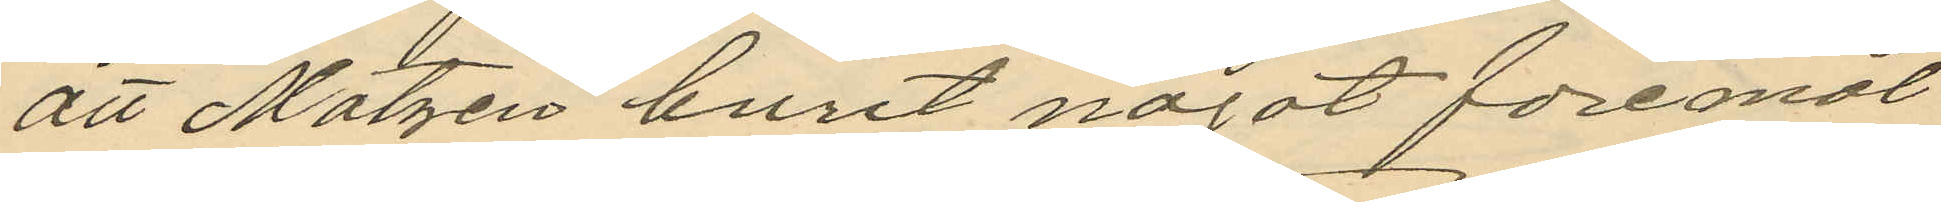att Matzen burit något föremål
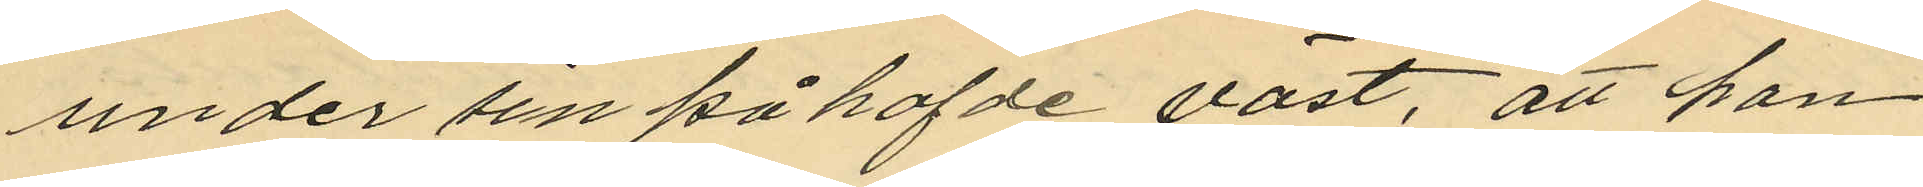under sin påhafde väst, att han
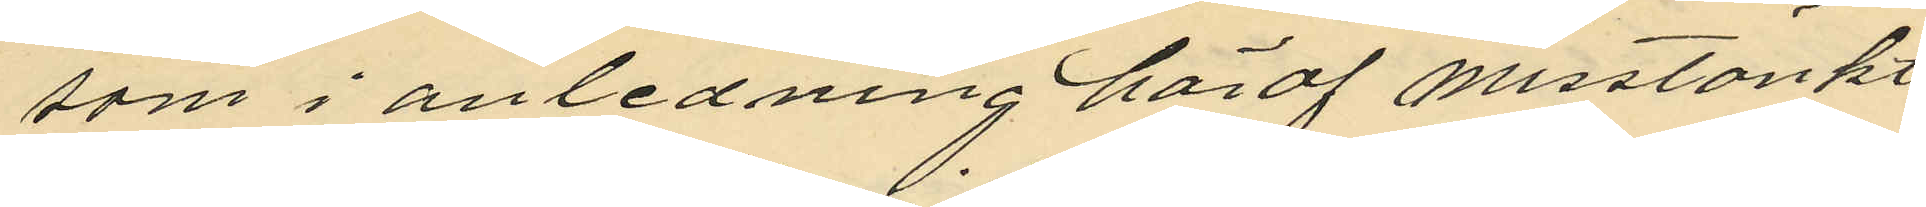som i anledning häraf misstänkt
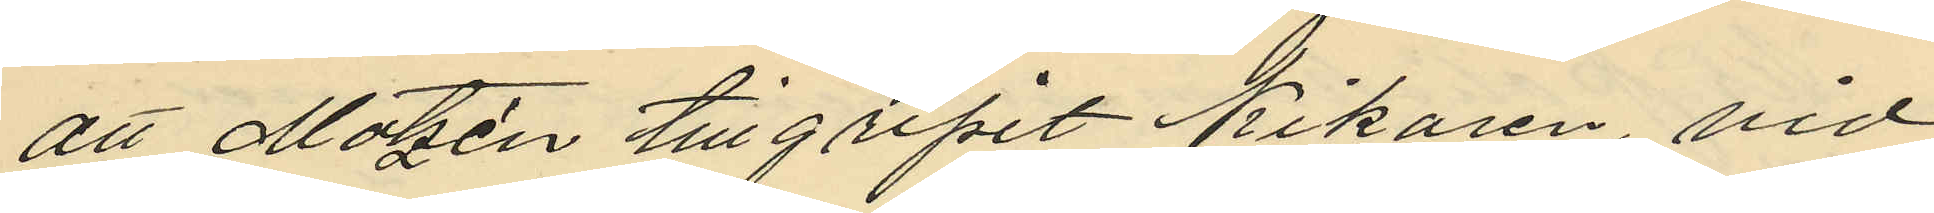att Matzén tillgripit Kikaren, vid
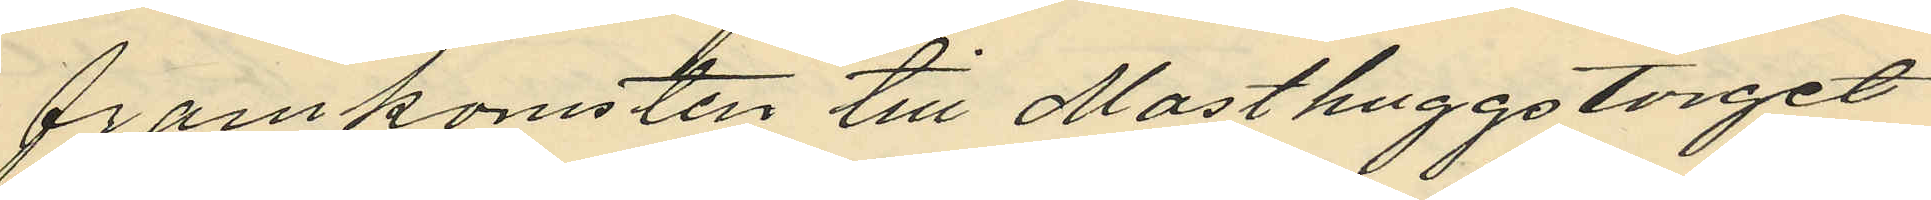framkomsten till Masthuggstorget
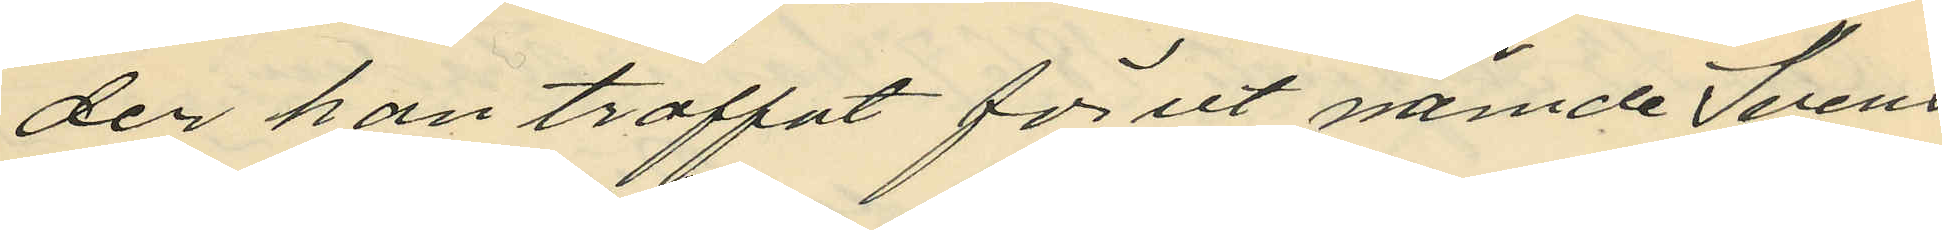der han träffat förut nämde Svens
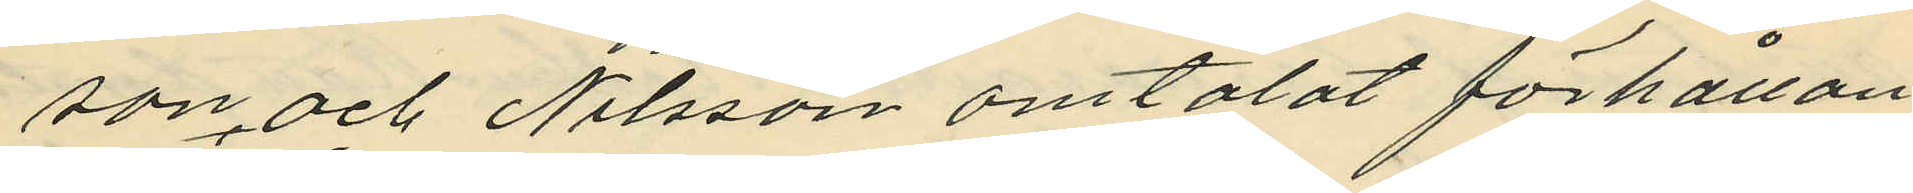son och Nilsson omtalat förhållan
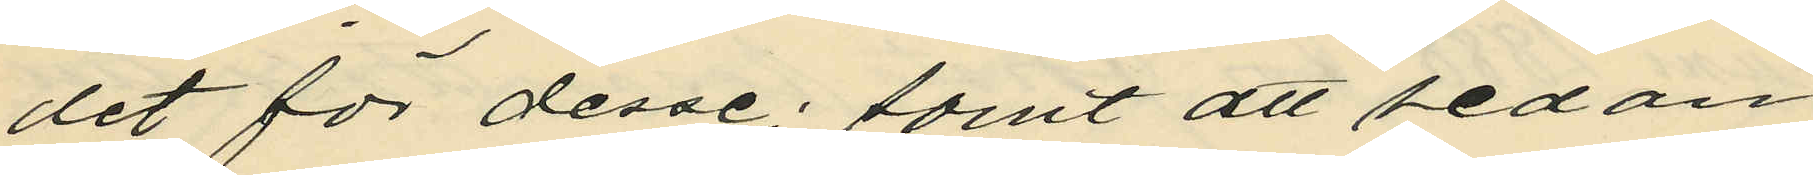det för desse; samt att sedan
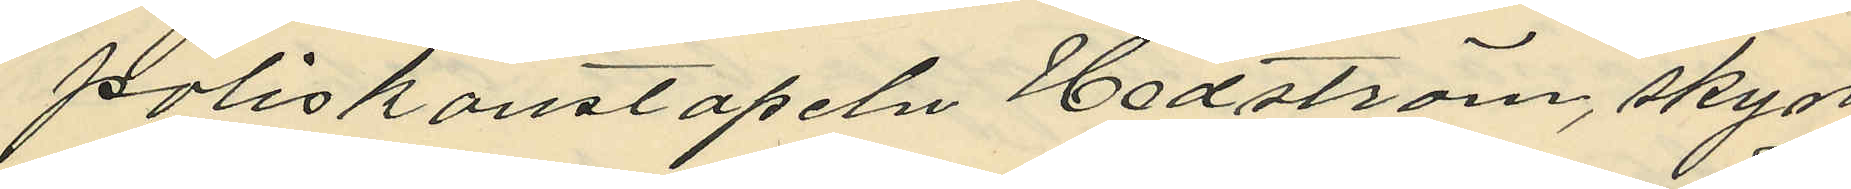poliskonstapeln Hedström, skyn¬
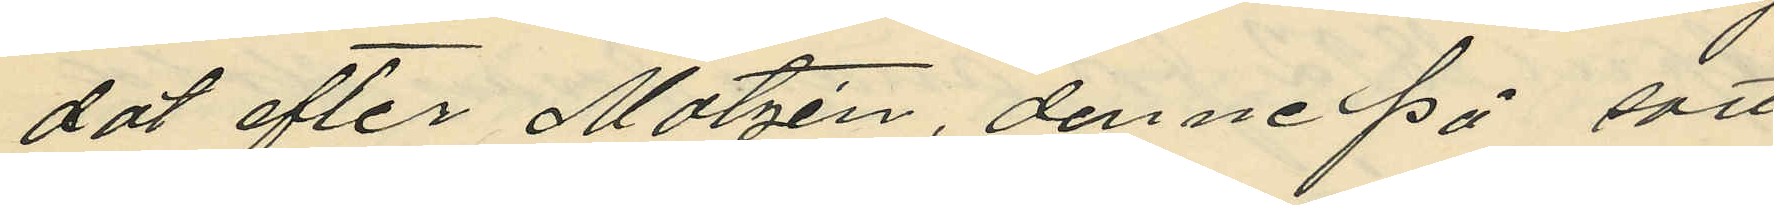dat efter Matzén, denne på sätt
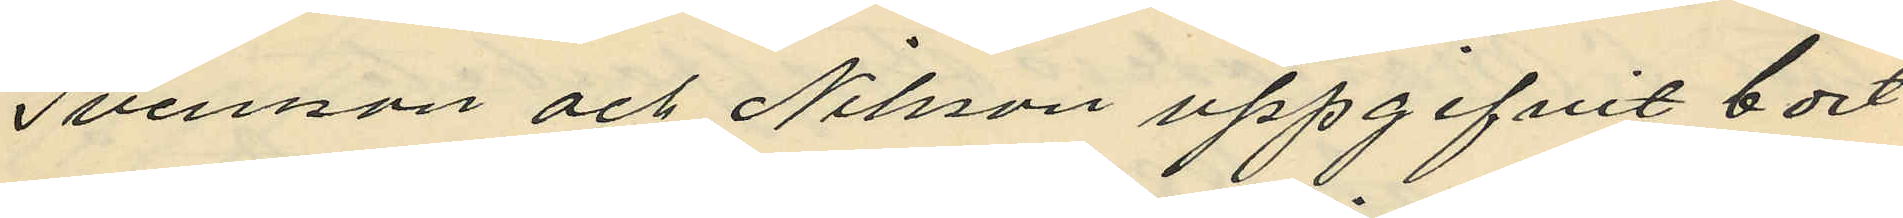Svensson och Nilsson uppgifvit bort
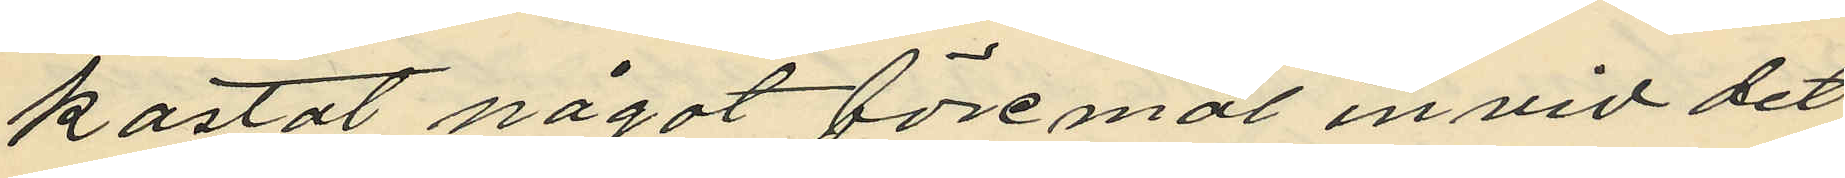kastat något föremål invid det
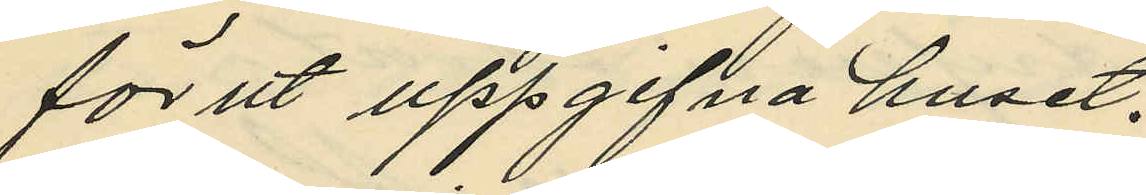förut uppgifna huset.
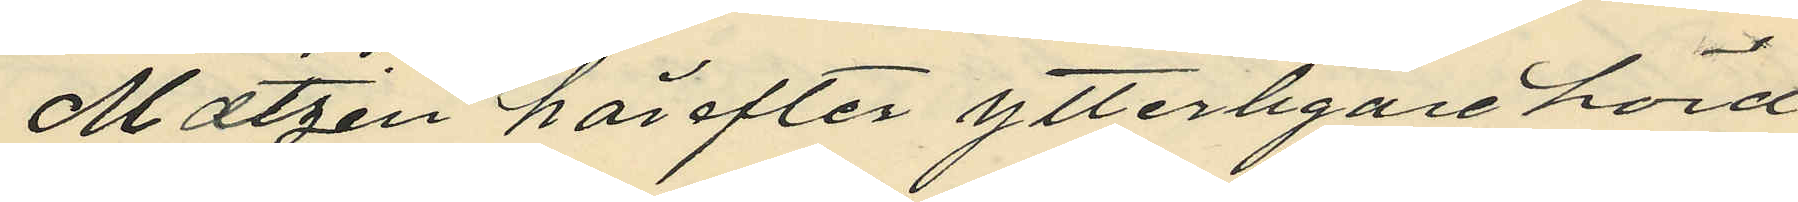Matzén härefter ytterligare hörd
